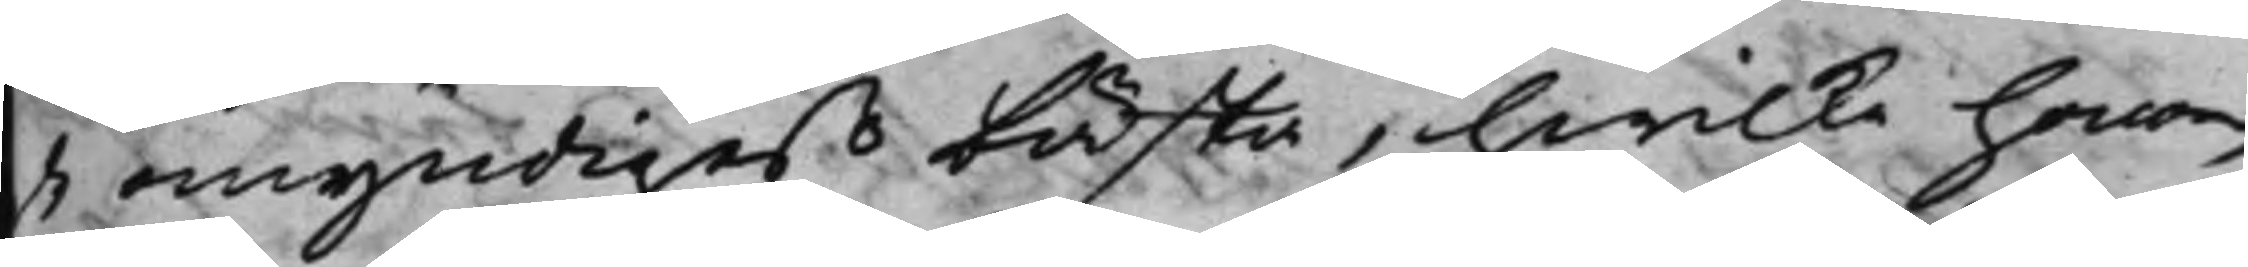de omyndigas bästa, hwilka honom
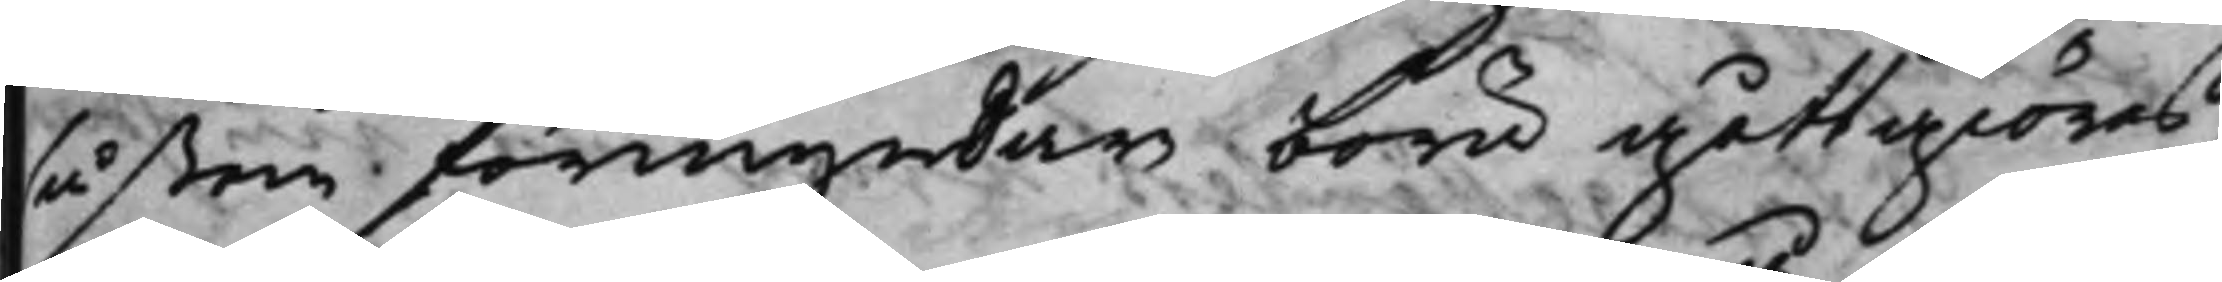såßom förmyndare, böra gåttgiöras,
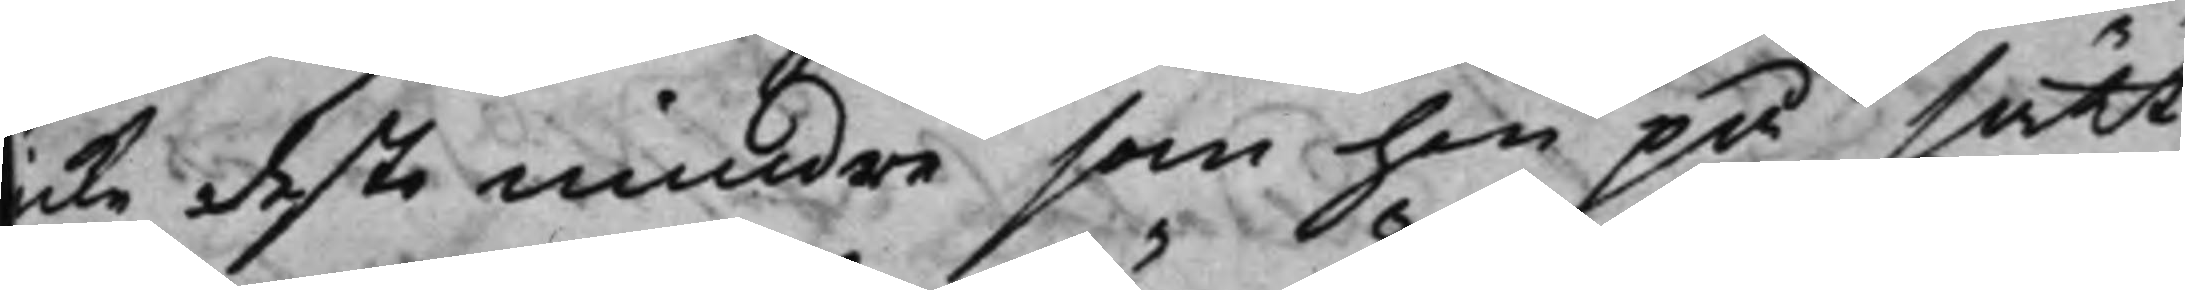icke desto mindre som han på sätt
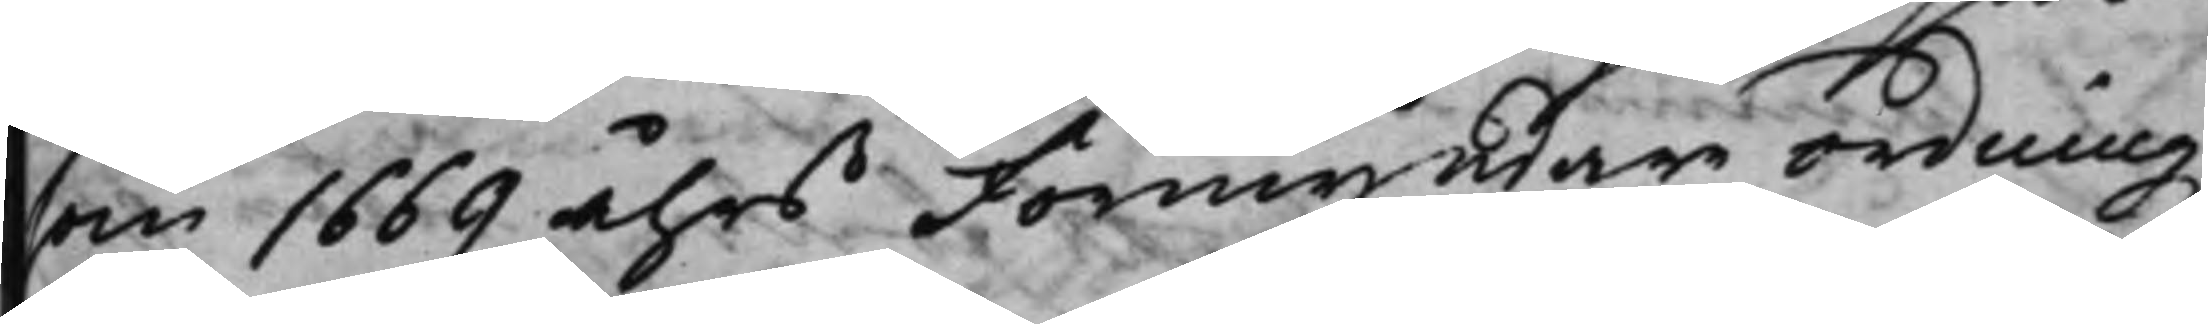som uti 1669 åhrs Förmyndare ordningz
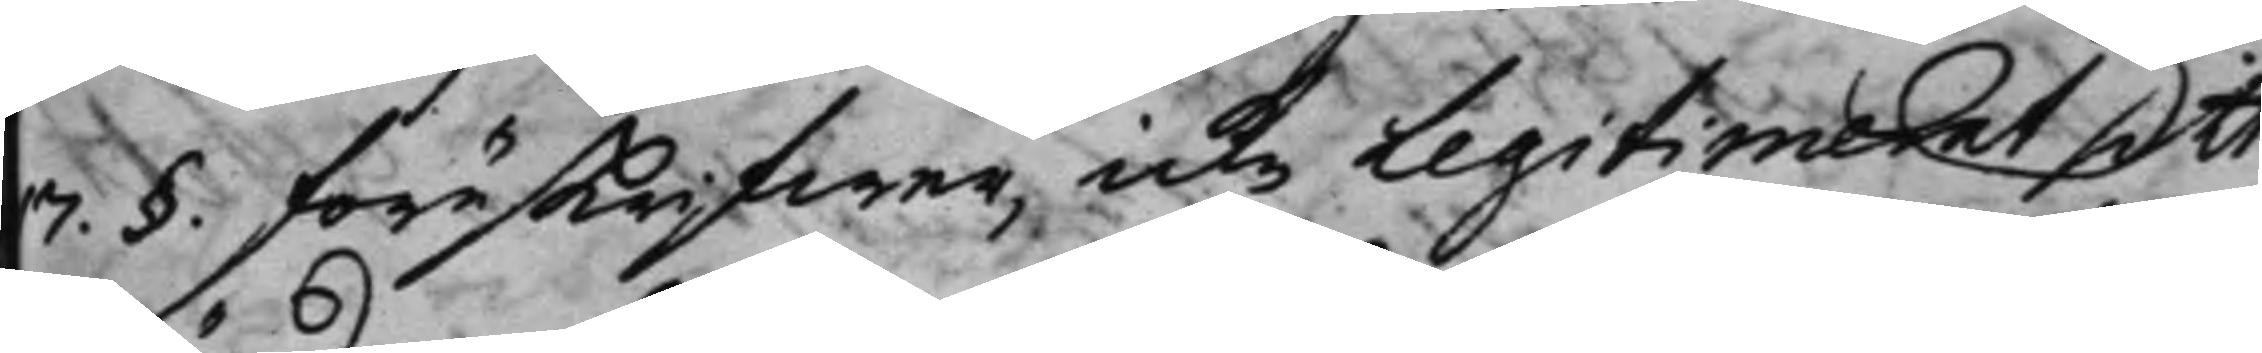17. §. föreskrifwer, icke legitimerat sitt
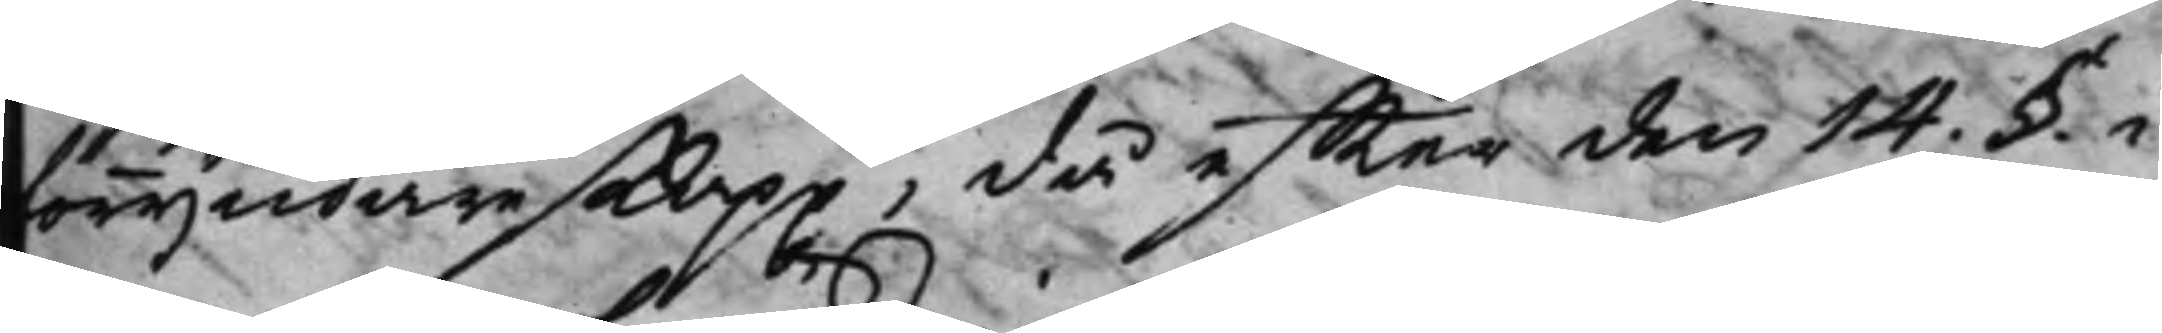förmyndareskapp, då effter den 14. §. i
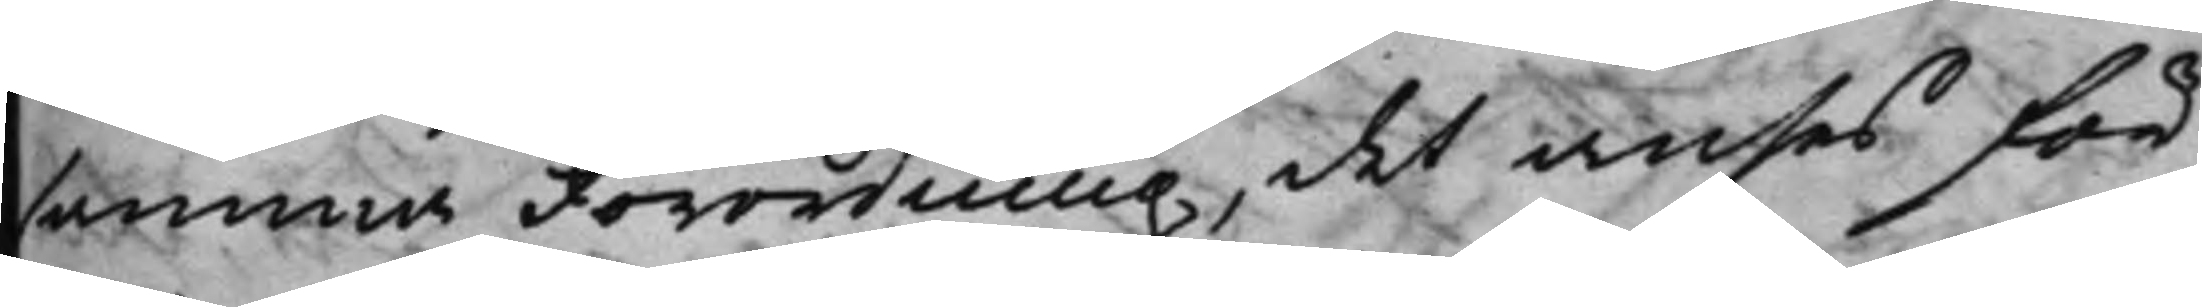samma Förordning, det anses för
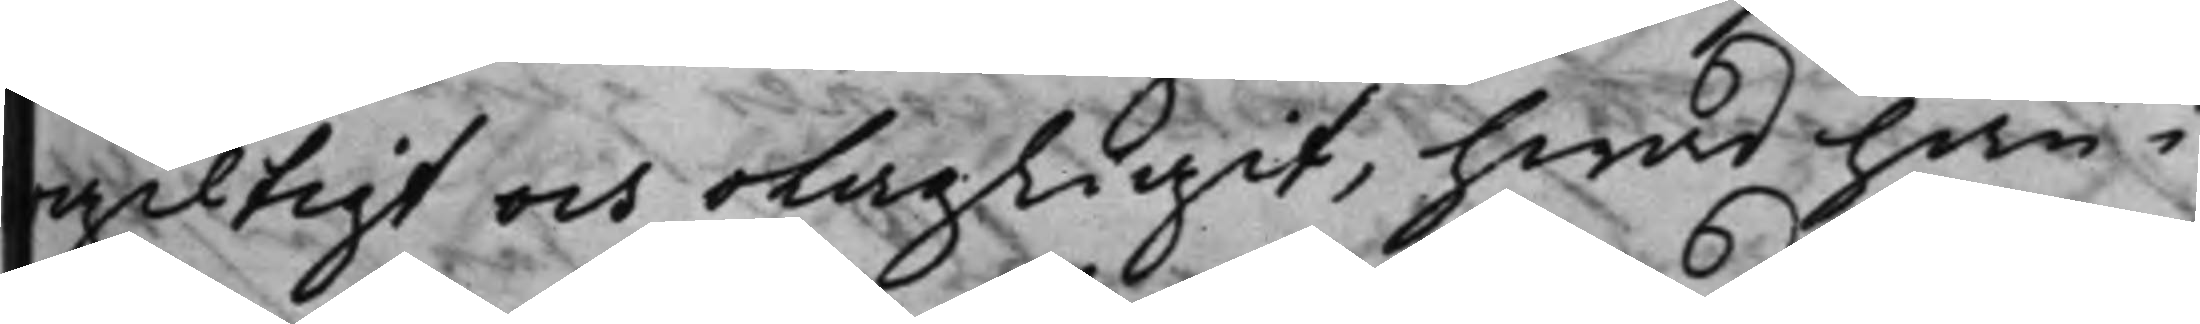ogiltigt och olagligit, hwad han i
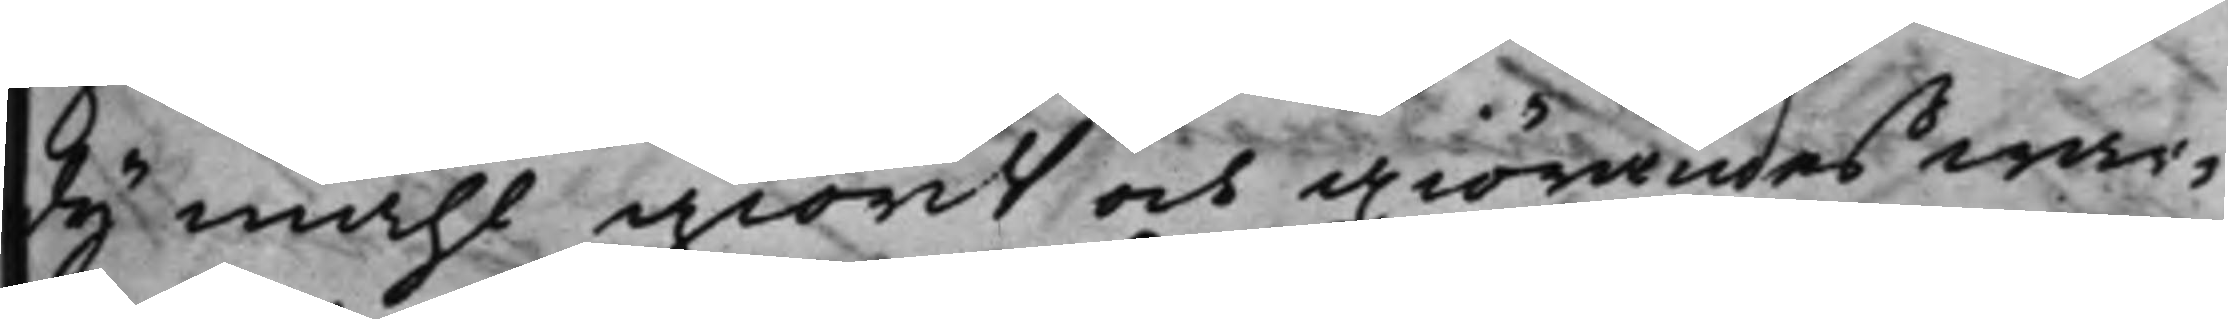dij måhl giordt och giörandes war¬
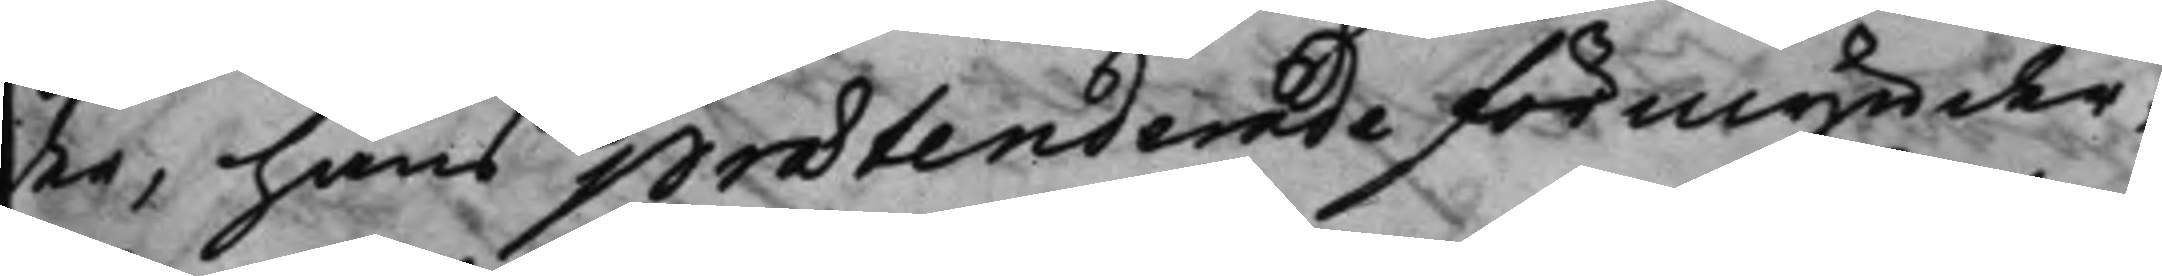der, hans prætenderade förmynder¬
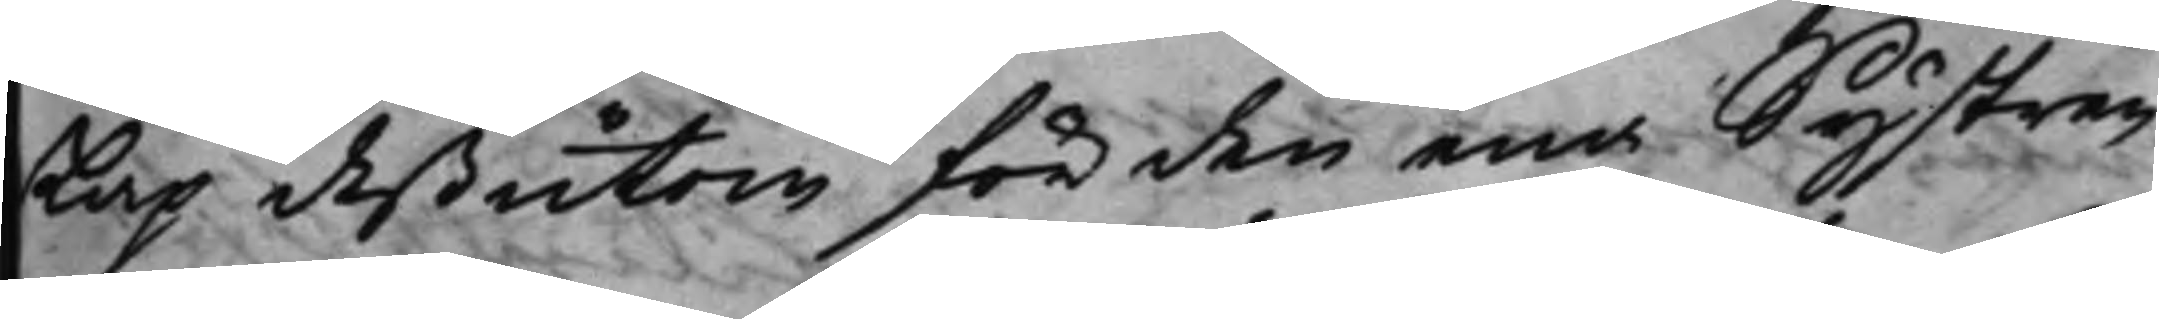skap deßutom för den ena Systren
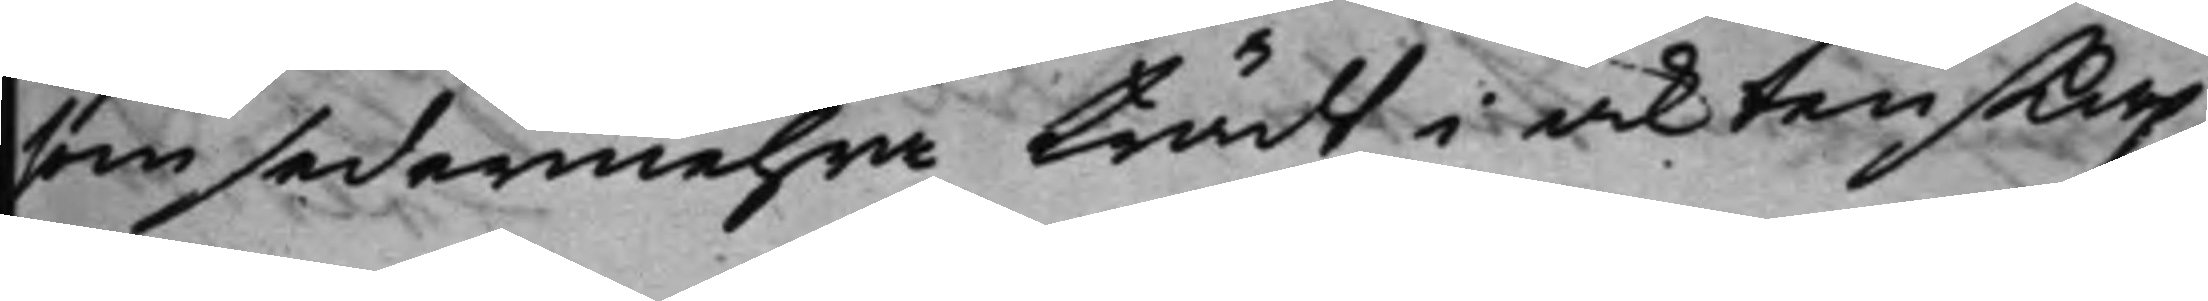som sedermehra trädt i äktenskap
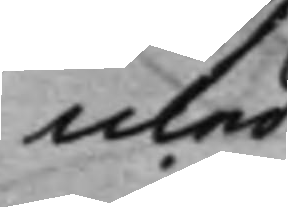med
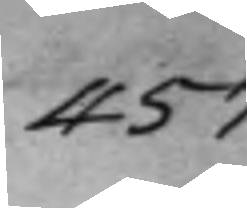457.
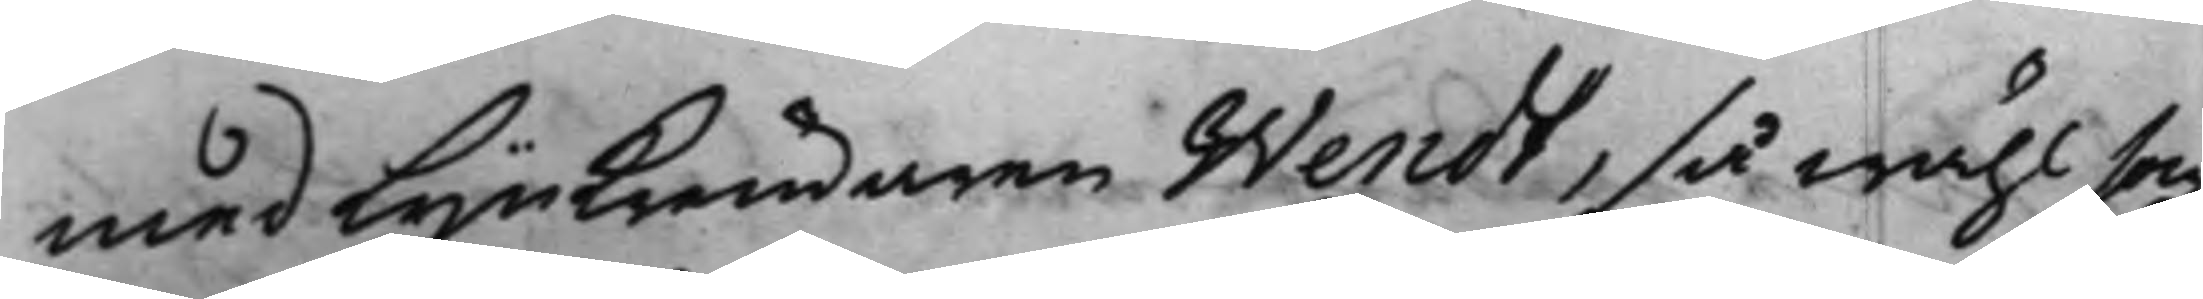med Lijnkrämaren Wendt, så wähl som
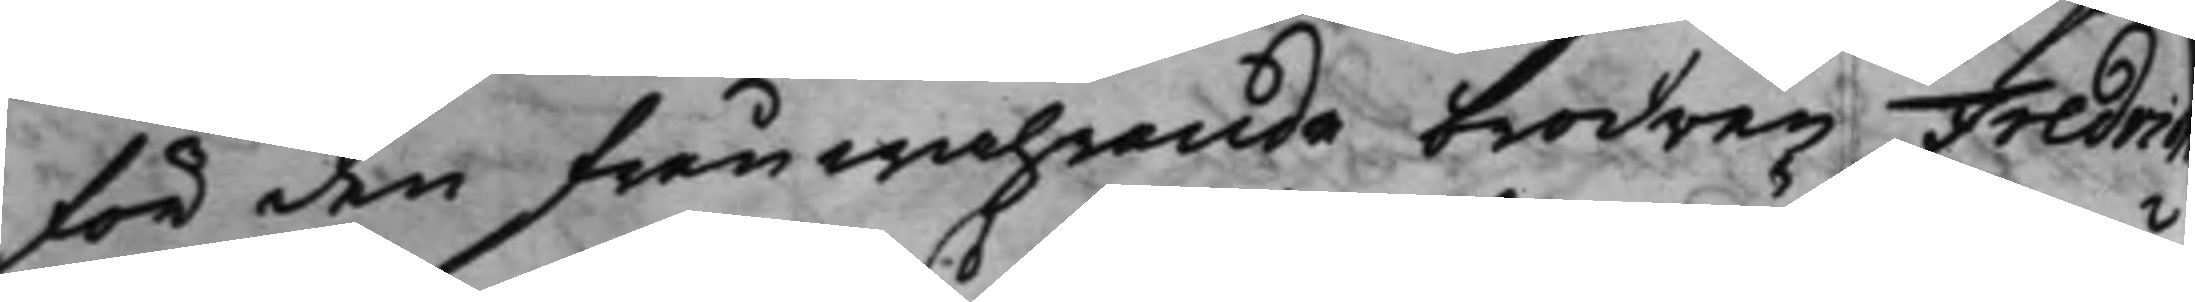för den frånwarande brodren Fredrich
